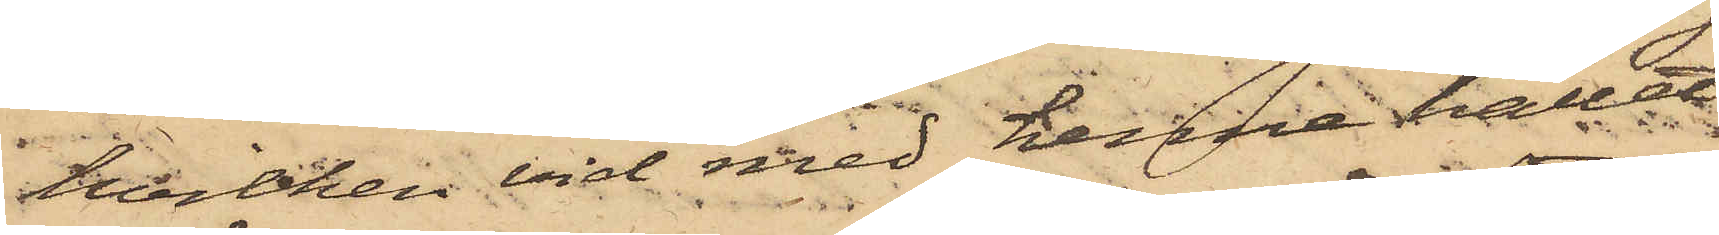hvilken vid med henne hållet
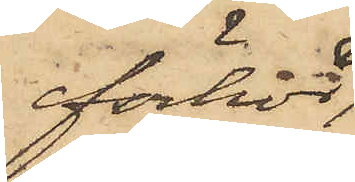förhör
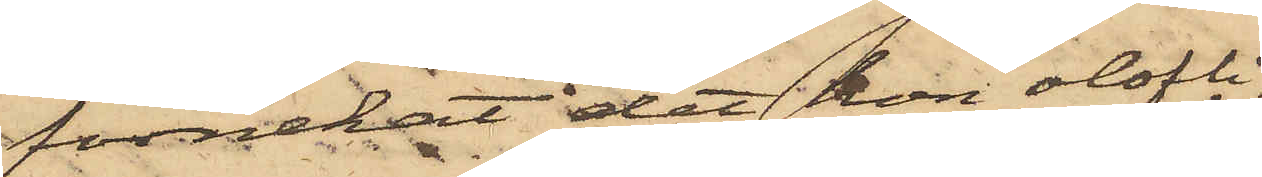förnekat det hon olofli¬
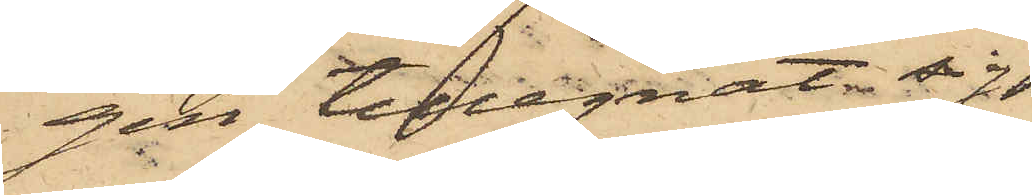gen tillegnat sig
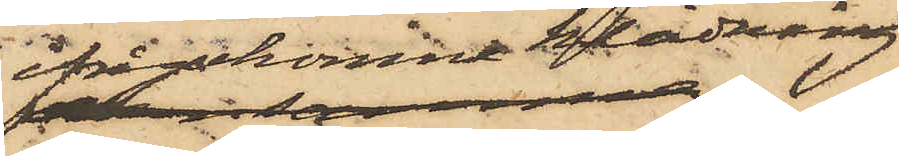ifrågakomne klädning
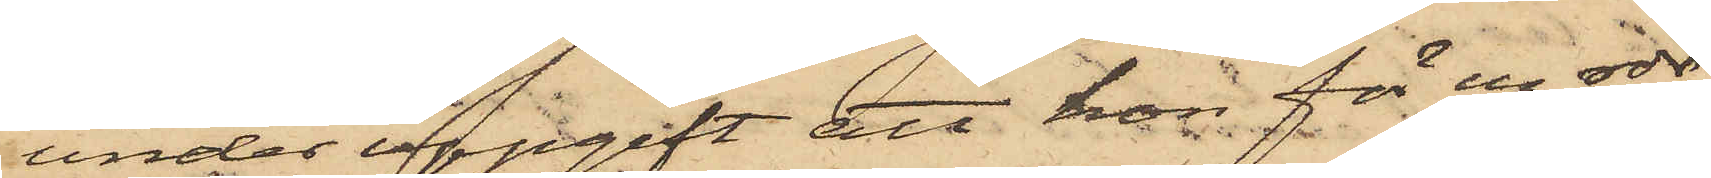under uppgift att hon för en rdr
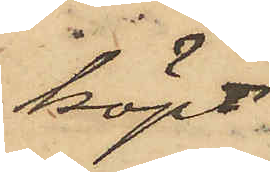köpt
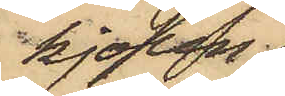kjolen
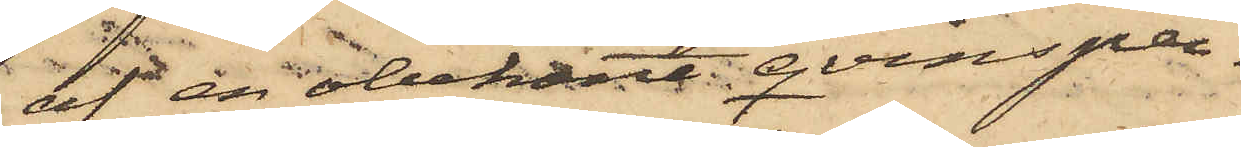af en obekant qvinsper¬
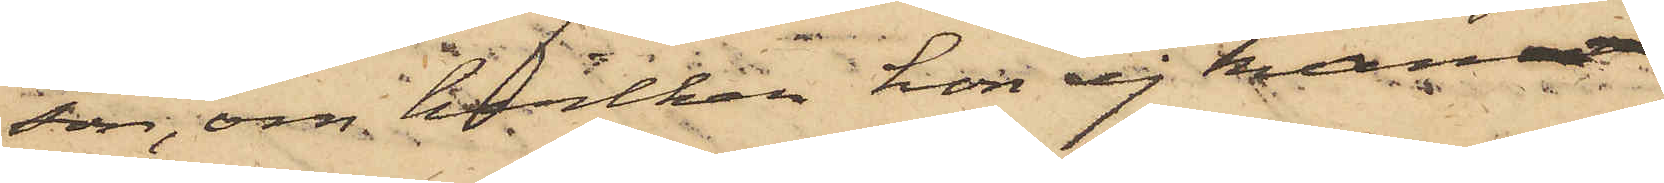son, om hvilken hon ej kunnat
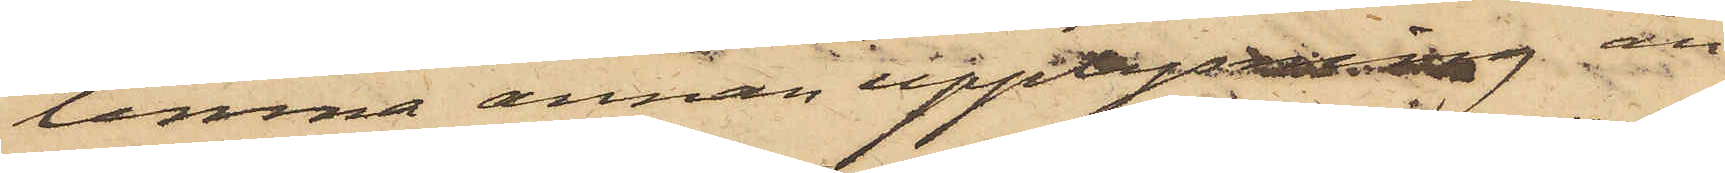lemna annan upplysning än
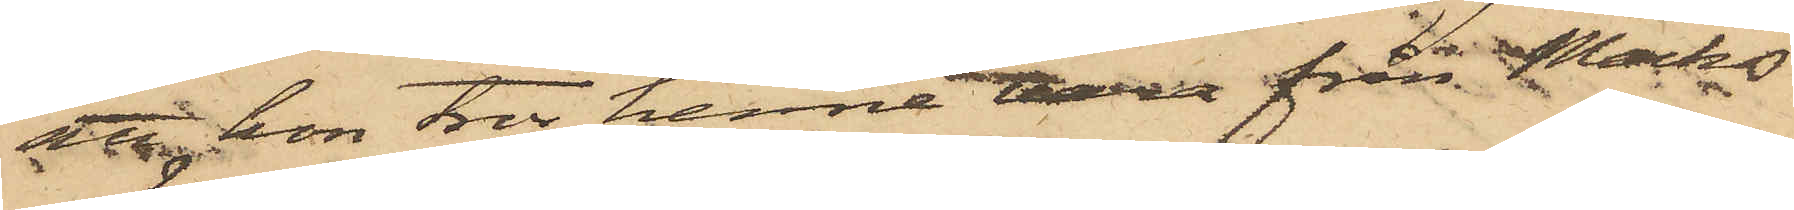att hon tror henne vara från Marks
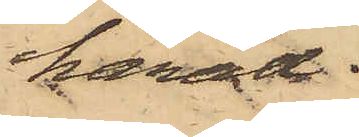härad.
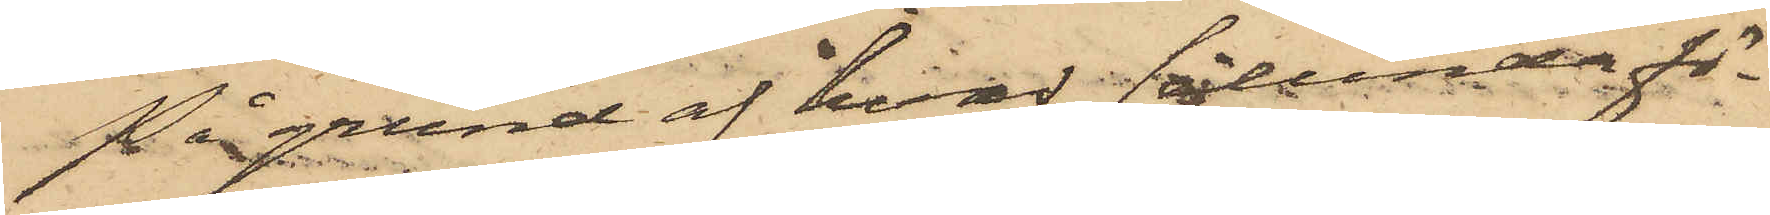På grund af hvad sålunda fö¬
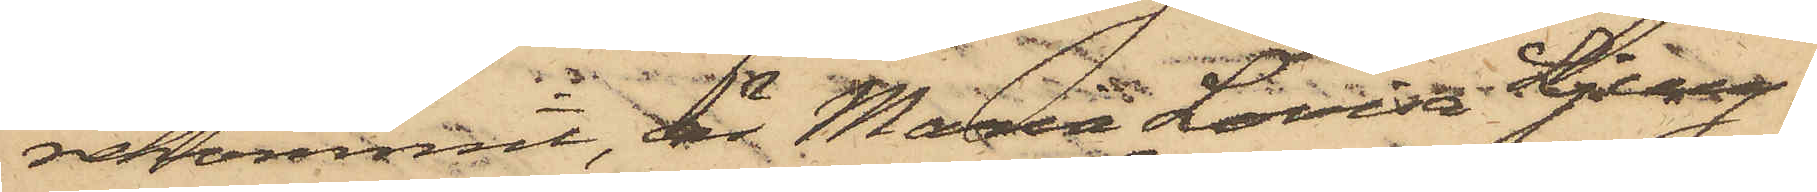rekommit, är Maria Lovisa Ljung¬
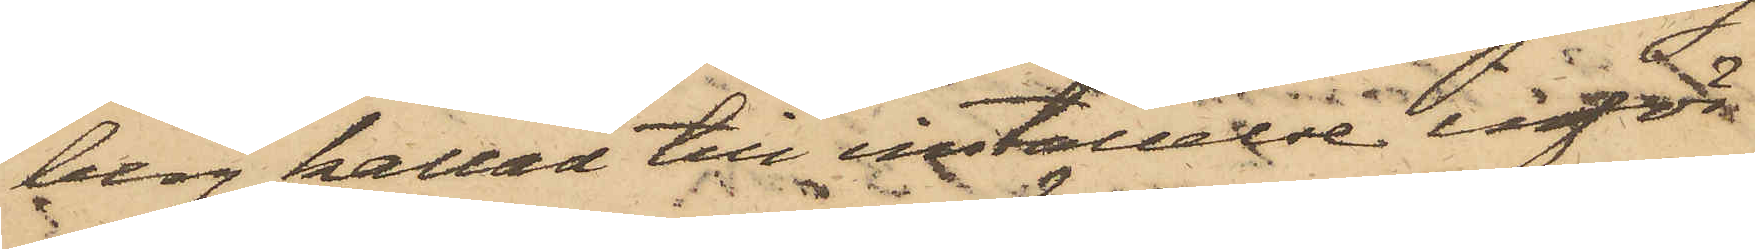berg kallad till inställelse inför
